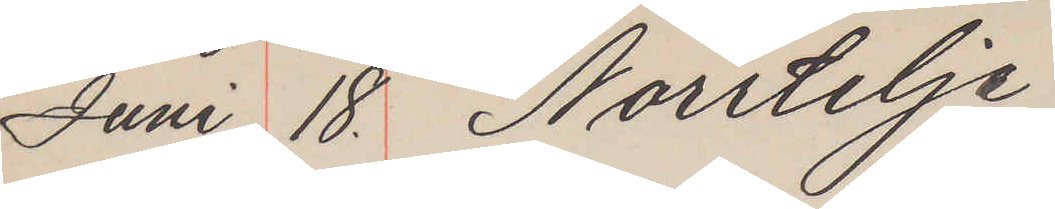Juni 18. Norrtelje
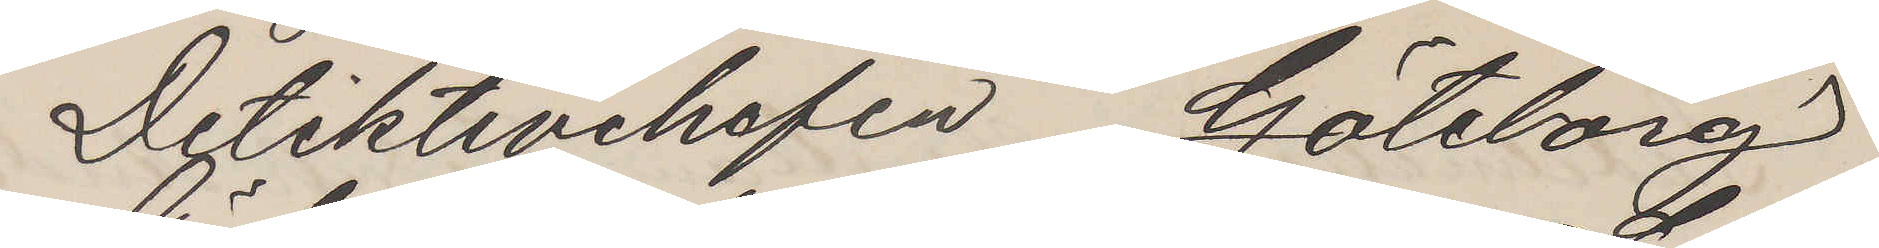Detektivchefen Göteborg
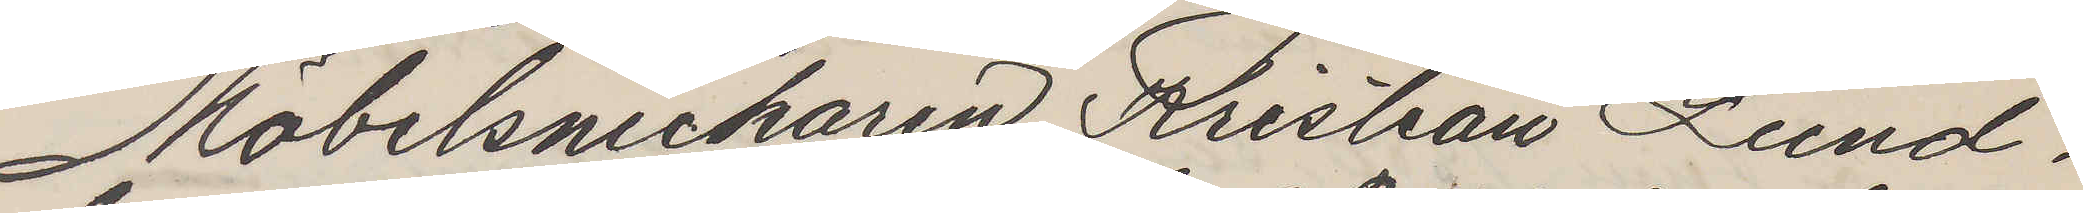Möbelsnickaren Kristian Lund¬
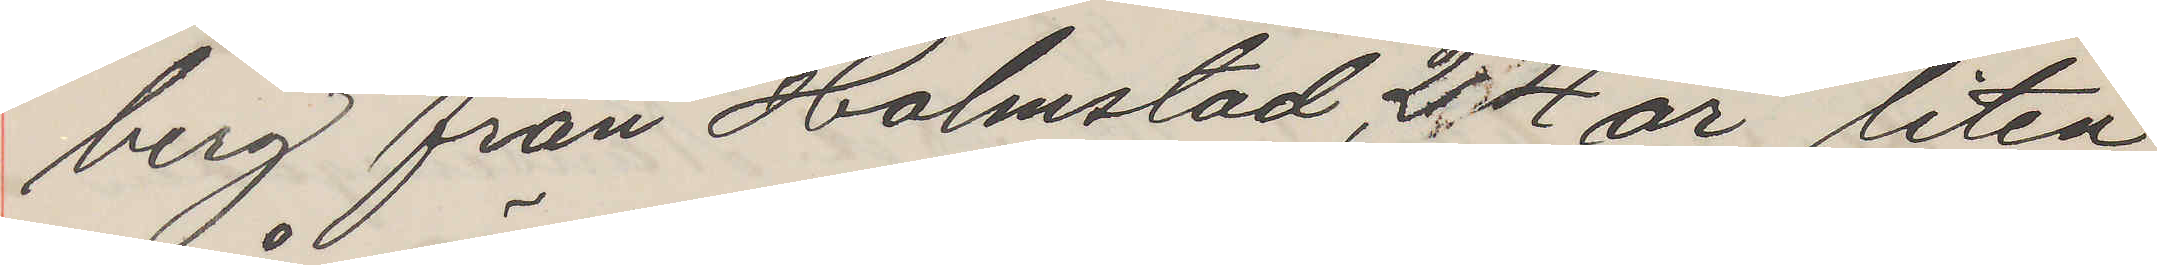berg från Holmstad 24 år, liten,
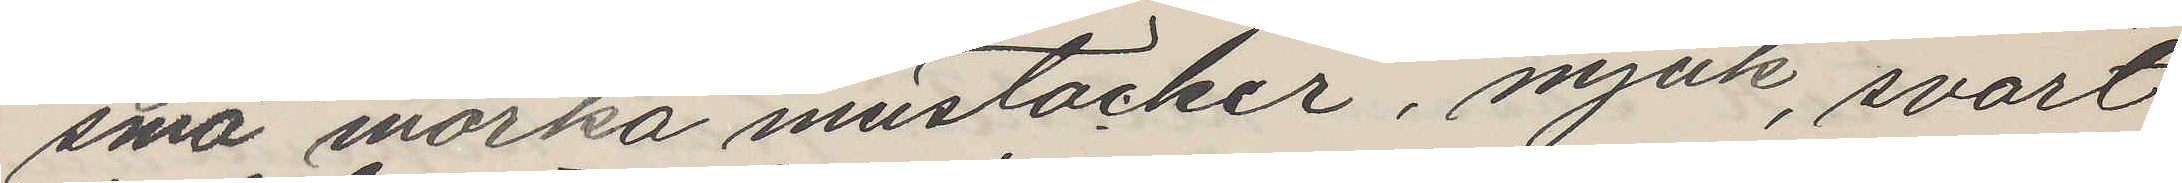små mörka mustacher, mjuk, svart
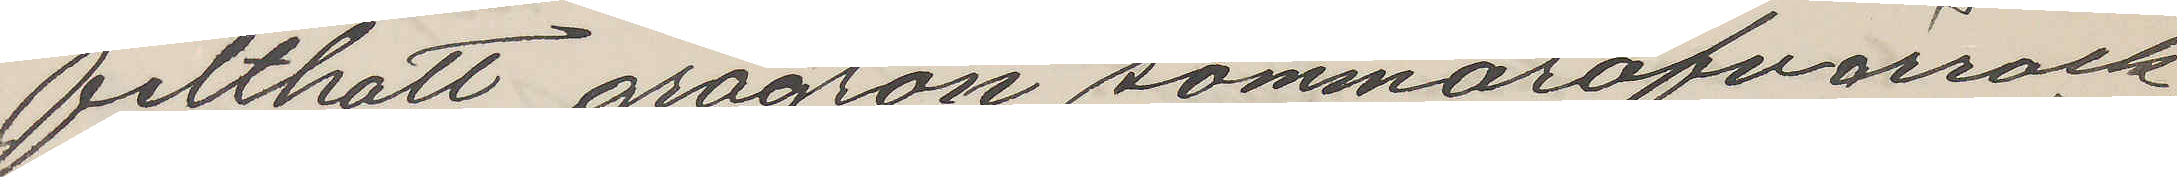filthatt, grågrön sommaröfverrock,
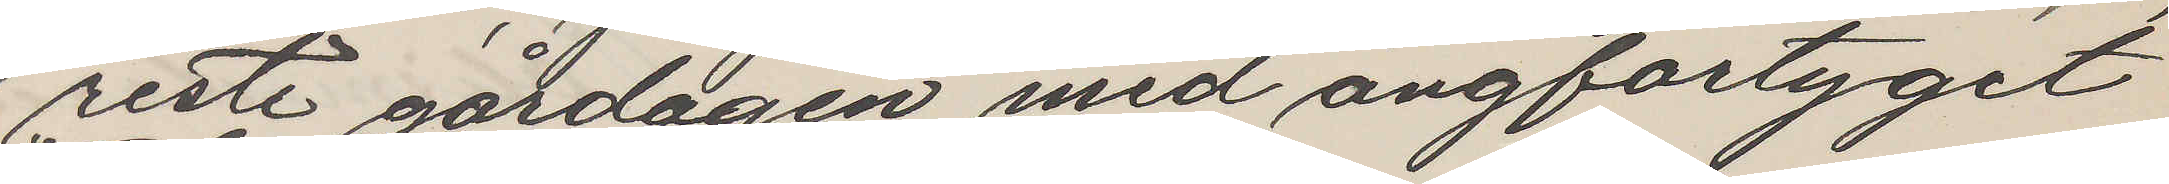reste gårdagen med ångfartyget
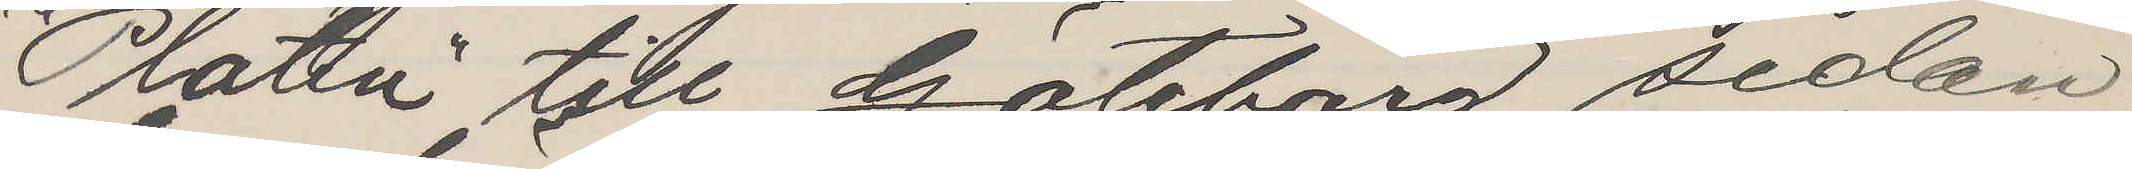"Platen" till Göteborg, sedan
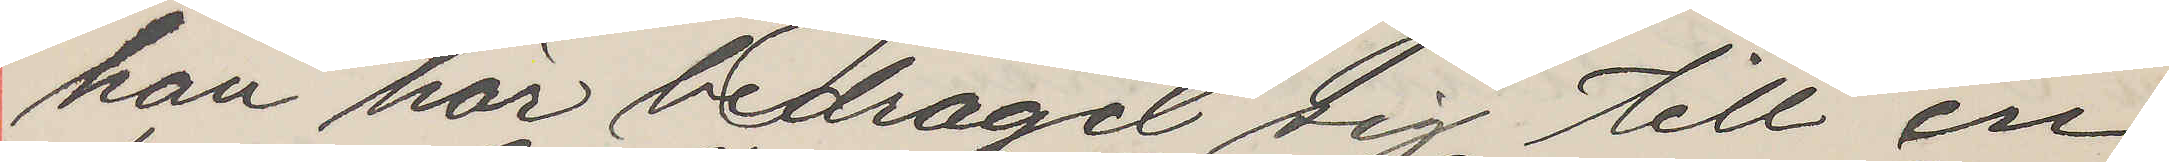han här bedragit sig till en
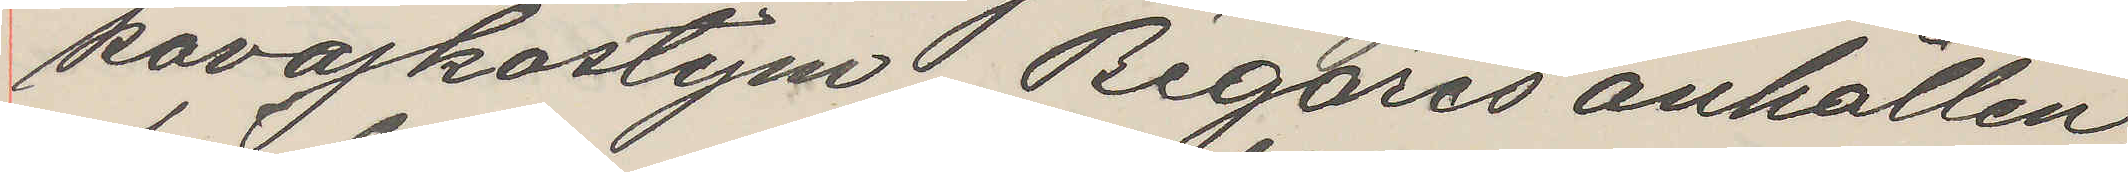kavajkostym. Begäres anhållen,
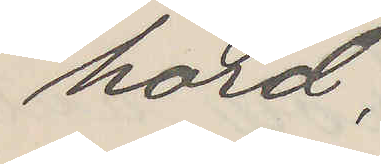hörd.
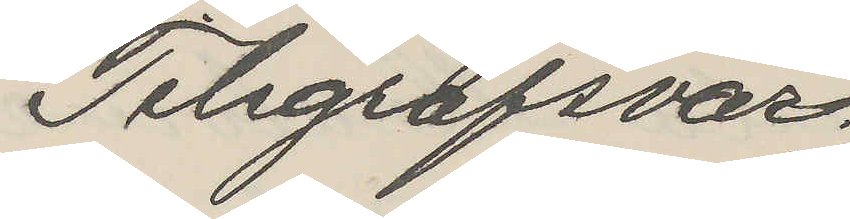Telegrafsvar.
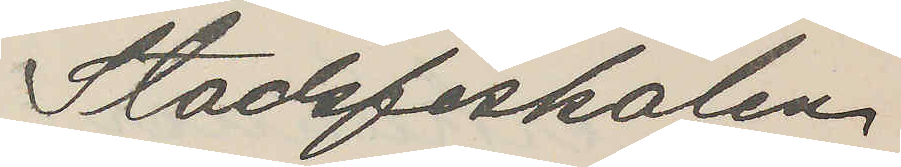Stadsfiskalen
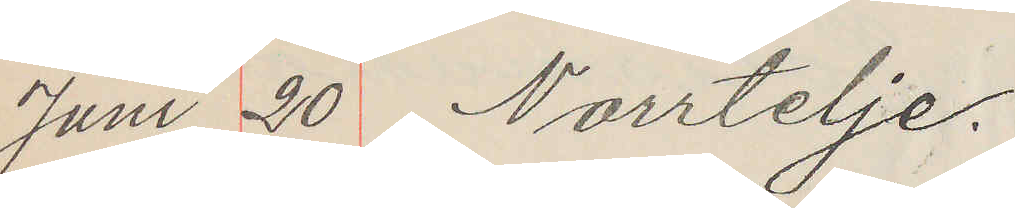Juni 20 Norrtelje.
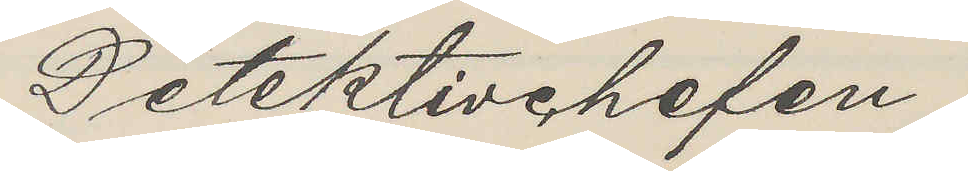Detektivchefen
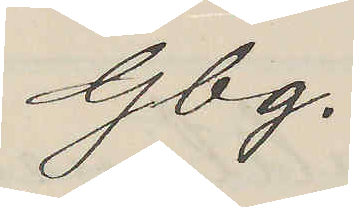Gbg.
